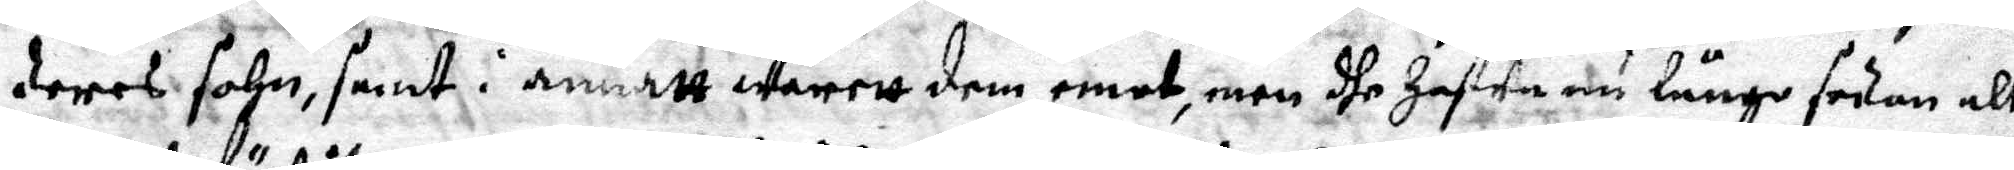deres sohn, samt i annatt warett dem emot, men dhe hafwa nu länge sedan alt
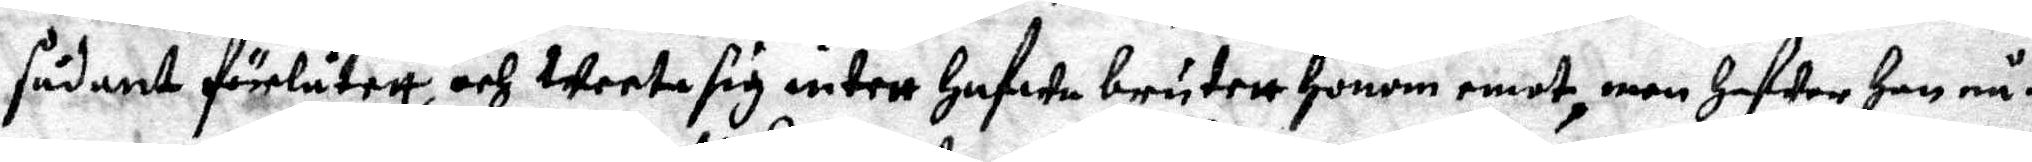sådant förlåtett, och weeta sig intett hafwa brutett honom emot, men Hawer Han nå¬
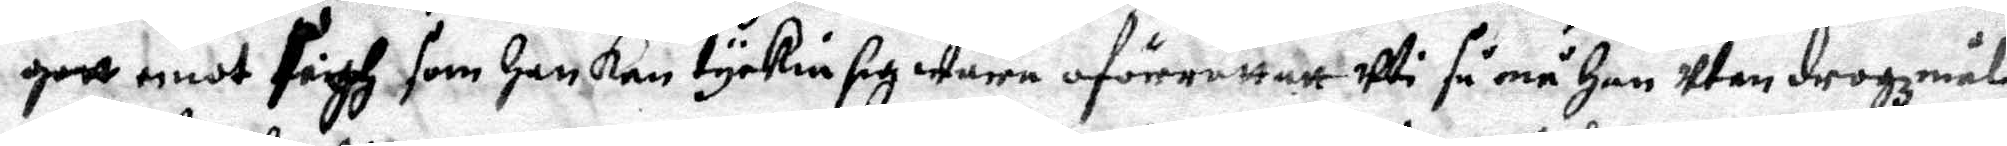gott emot sigh som Han Kan tyckia sig wara oförrettatt Wi så må Han Utan drogzmål
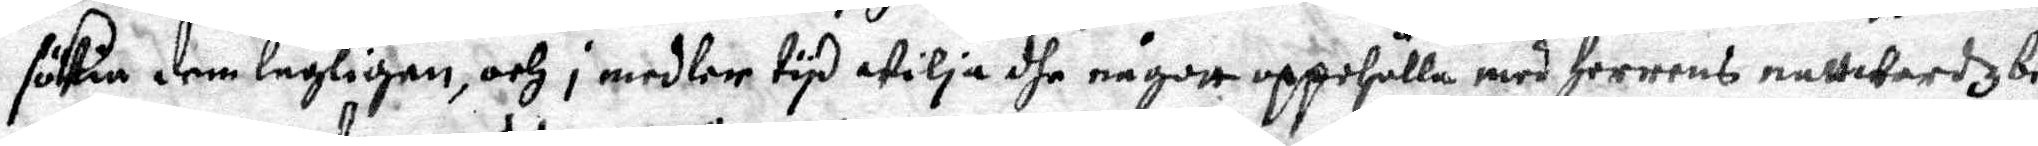sökia dem lagligen, och j medler tyd wilja dhe någott uppehålla med Herrens nattwardz be¬
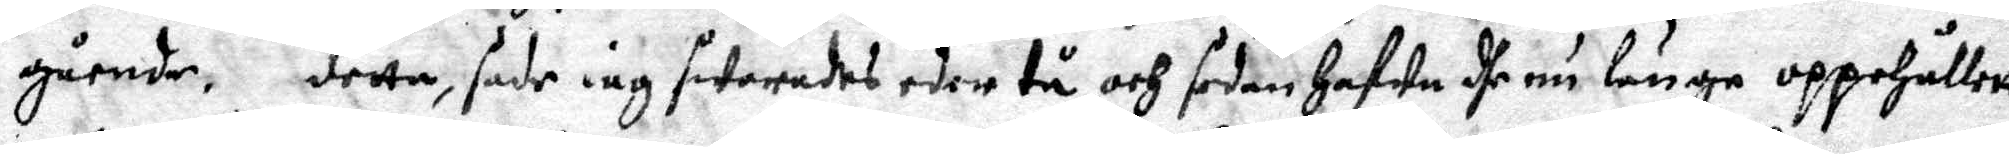gående, detta, sade iag swarades eder tå och sedan Hafwa dhe nu länge oppehållatt,
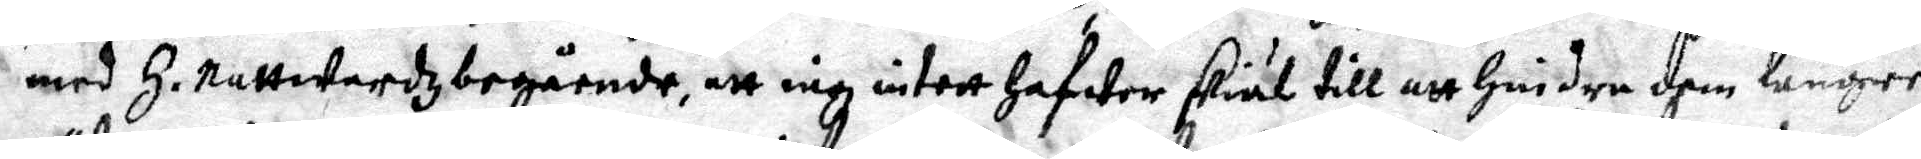med H. Nattwardz begående, att iag intet hafwer skiäl till att hindre dem lengre.
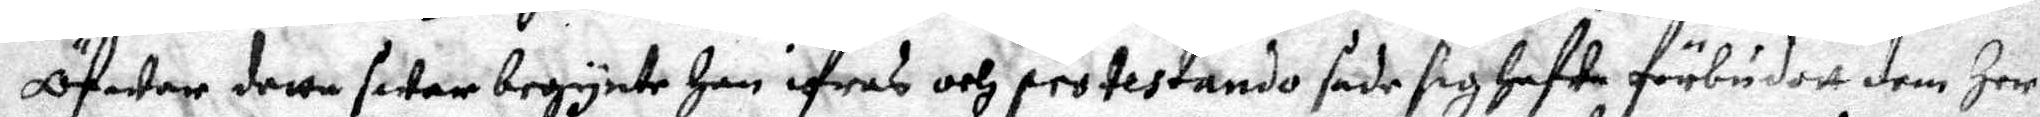Öfwer detta swar begynte Han ifras och protestando sade sig hafwe förbudett dem Her¬
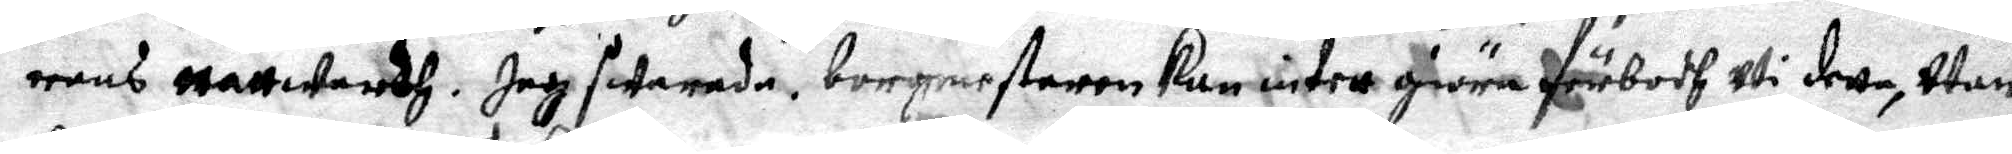rens Nattwardh. Jag swarade borgmestaren Kan intett giöra förbodh uti detta, Utan
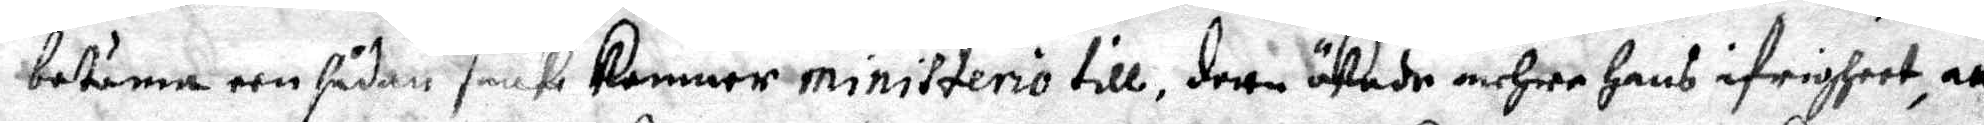bestäma een sådan sack kommer ministerio till, detta ökade mehra hans ifrigheet, att
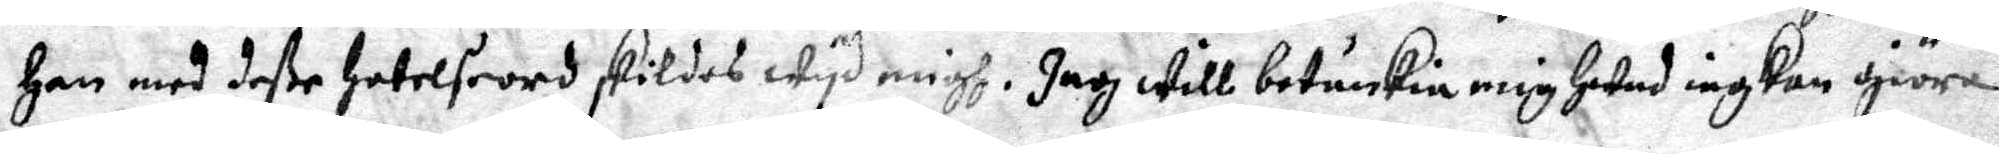Han med deße Hotelseord skildes wid migh. Jagh will betänkia mig hwad iag kan giöra.
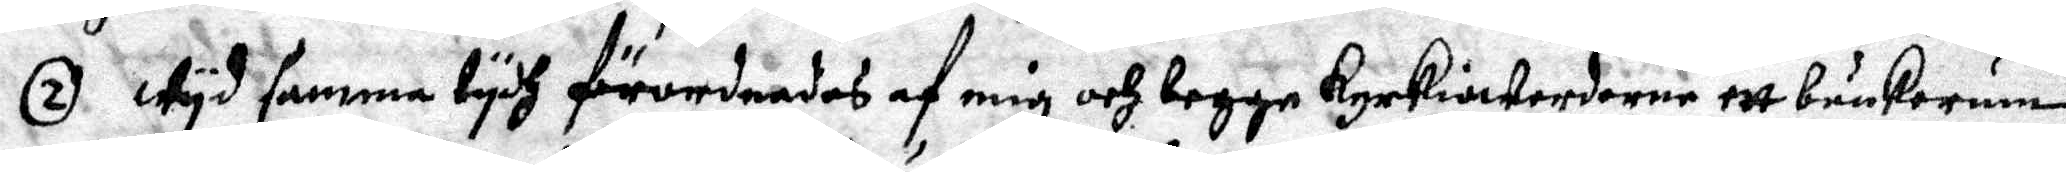2. Wyd samma tydh förordnades af mig och begge kyrkioherdarne ett bänkorum
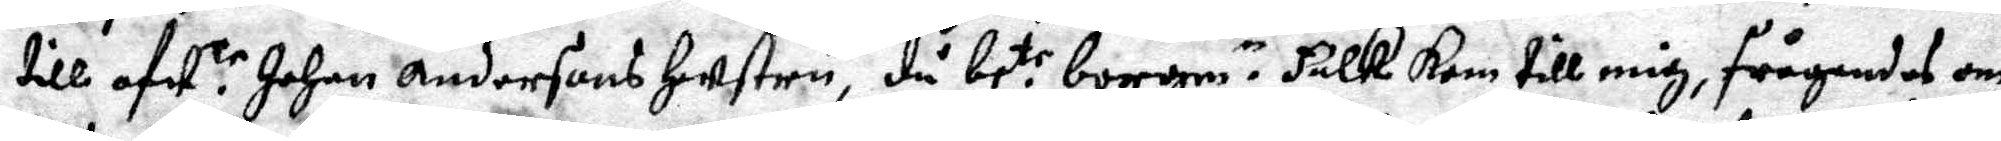till afw.r Johan Andersons hustru, då be:te borgm.r Falk Kom till mig, frågandes om
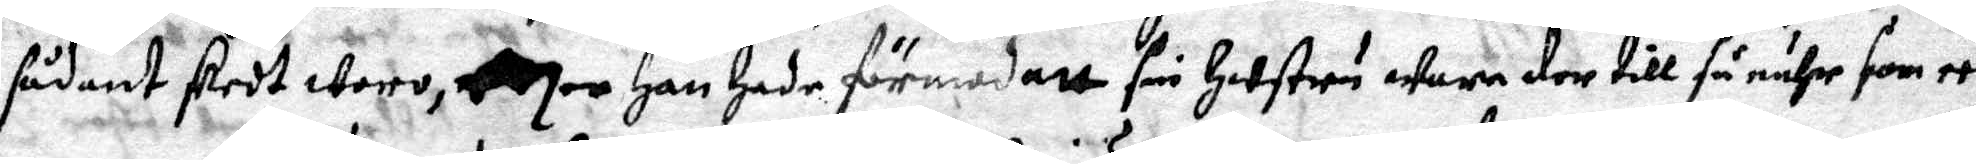sådant skedt woro, ...... Han Hade förmodatt sin hustru wara der till så nähr som een
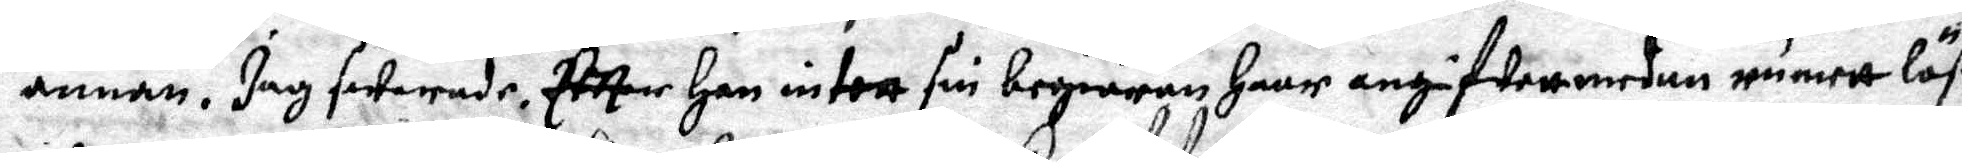annan, Jag swarade, eftter Han intett sin begiäran haar angifwett medan rumett löst
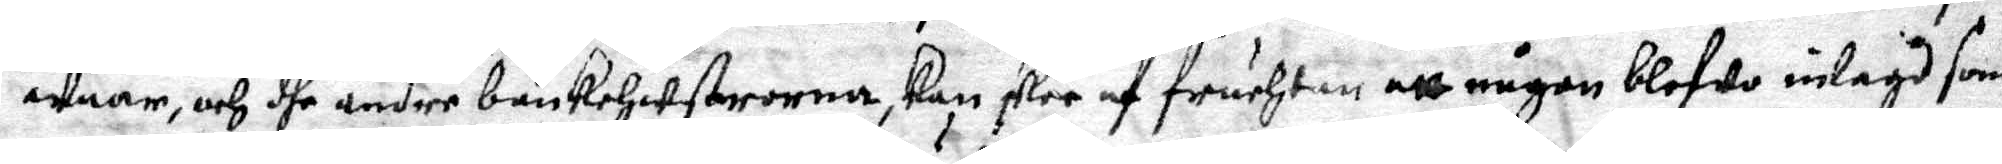waar, och dhe andre bänkehustrorna, kan skee af fruchtan att någon blefwo inlagd som
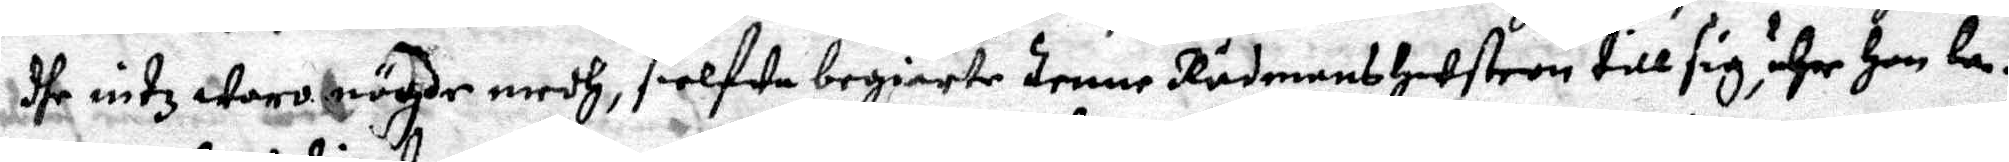dhe intz woro nögde medh, sielfwa begiärte denne Rådmans hustron till sig, ähr Han la¬
